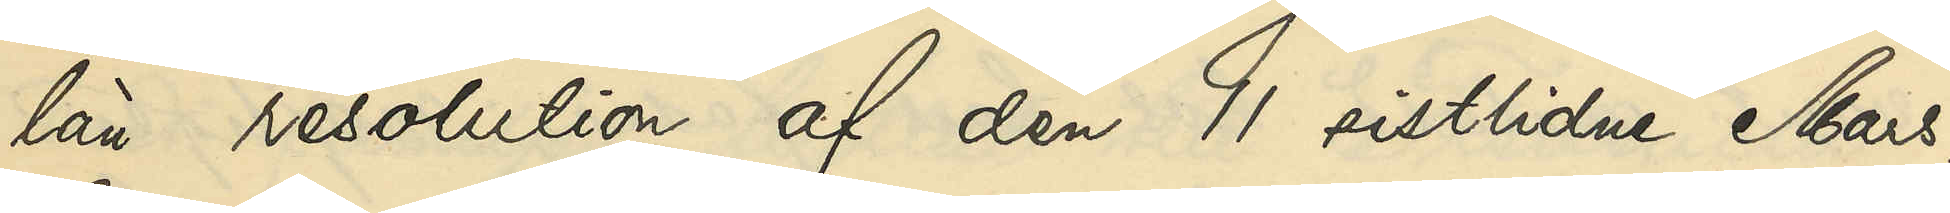län resolution af den 11 sistlidne Mars,
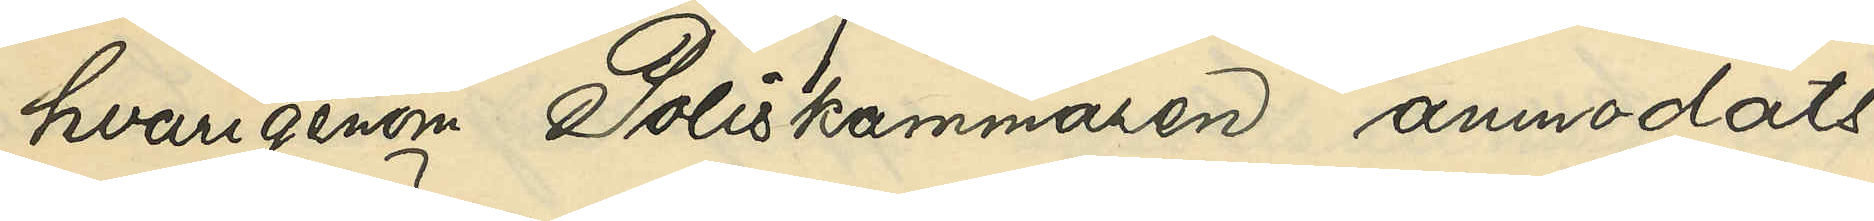hvarigenom Poliskammaren anmodats
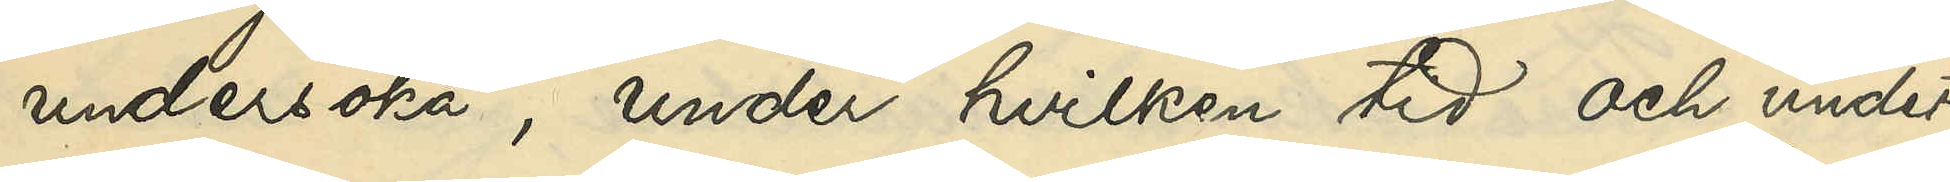undersöka, under hvilken tid och under
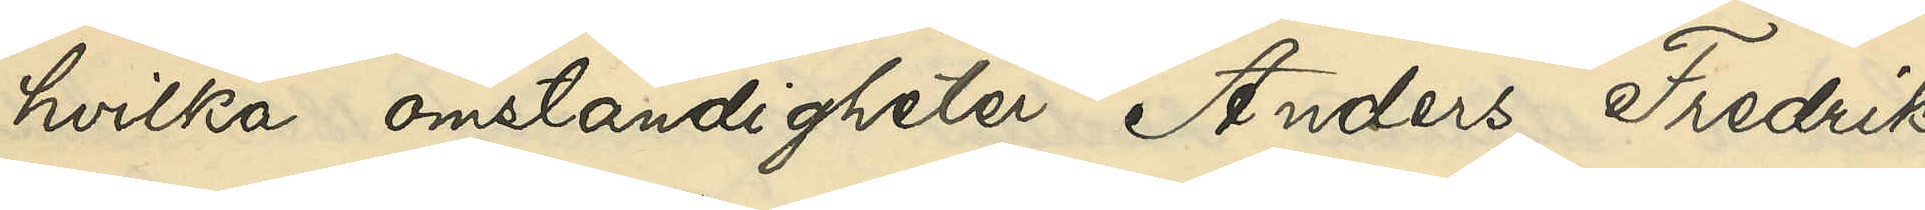hvilka omständigheter Anders Fredrik
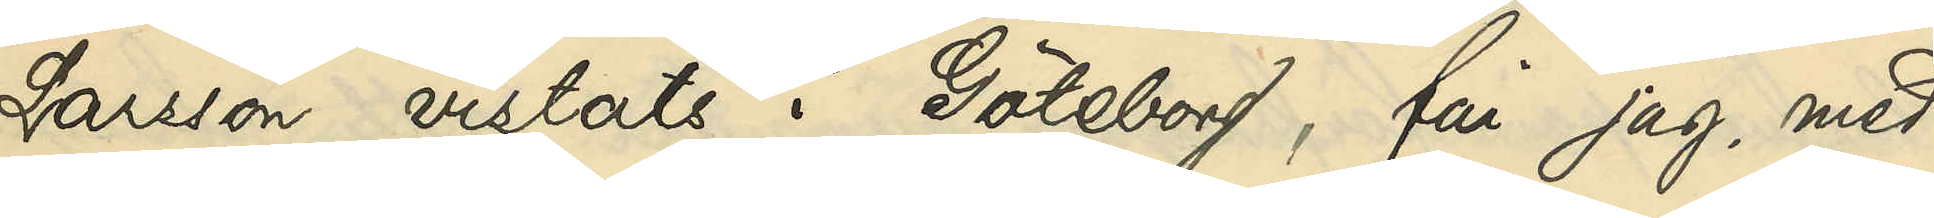Larson vistats i Göteborg, får jag, med
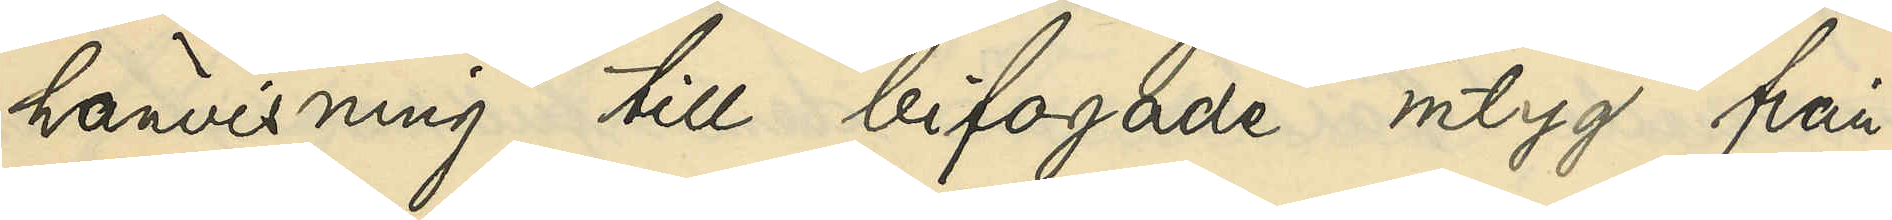hänvisning till bifogade intyg från
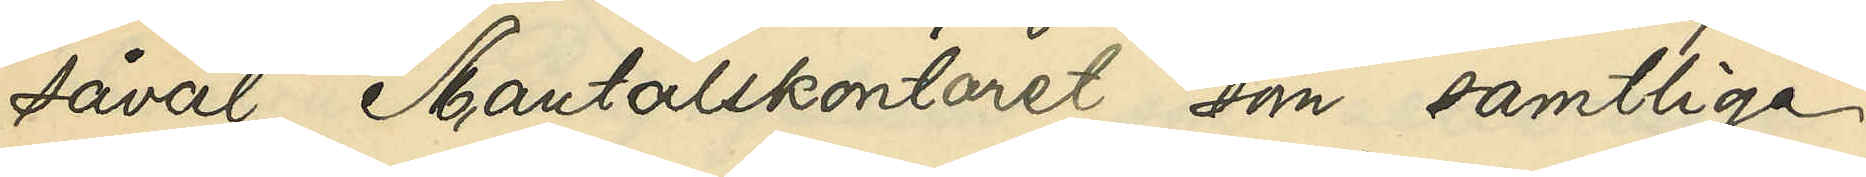såväl Mantalskontoret som samtliga
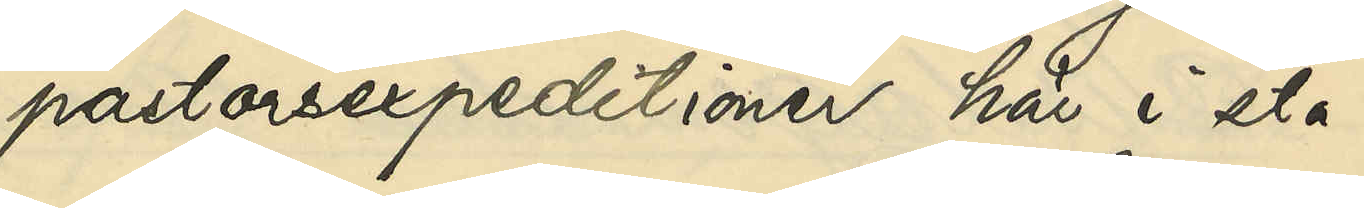pastorsexpeditioner här i sta¬
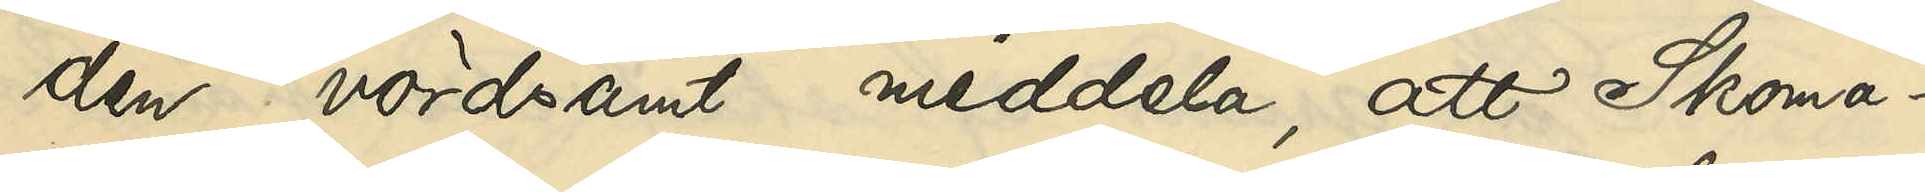den, vördsamt meddela, att Skoma¬
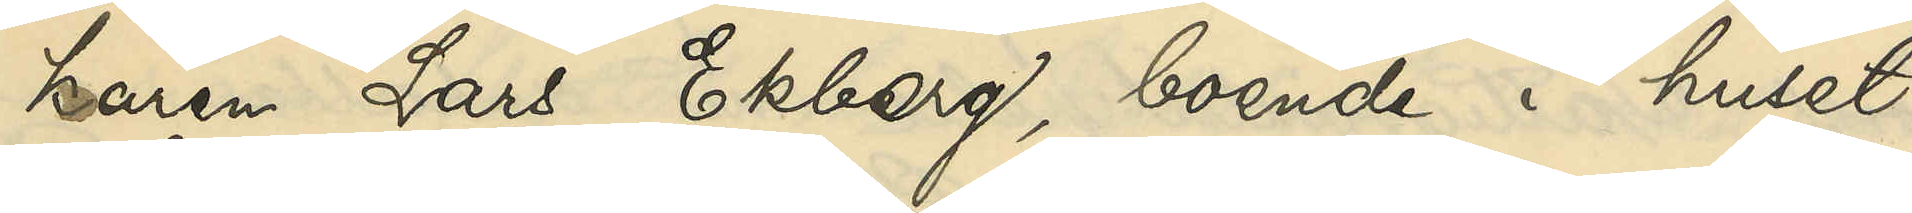karen Lars Ekberg, boende i huset
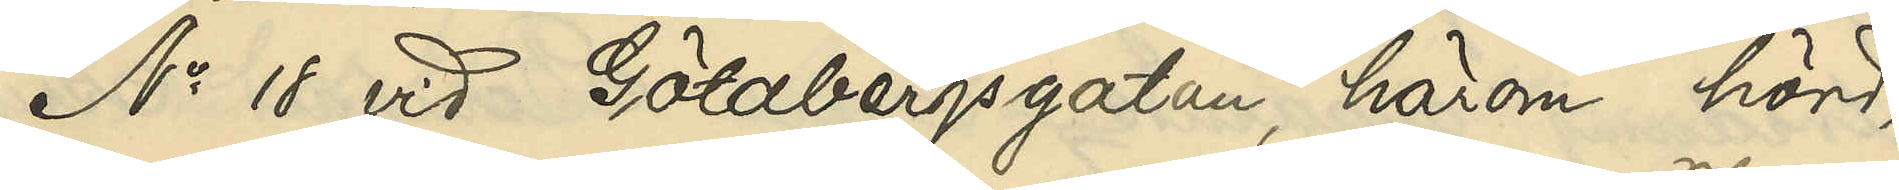No 18 vid Götabergsgatan, härom hörd,
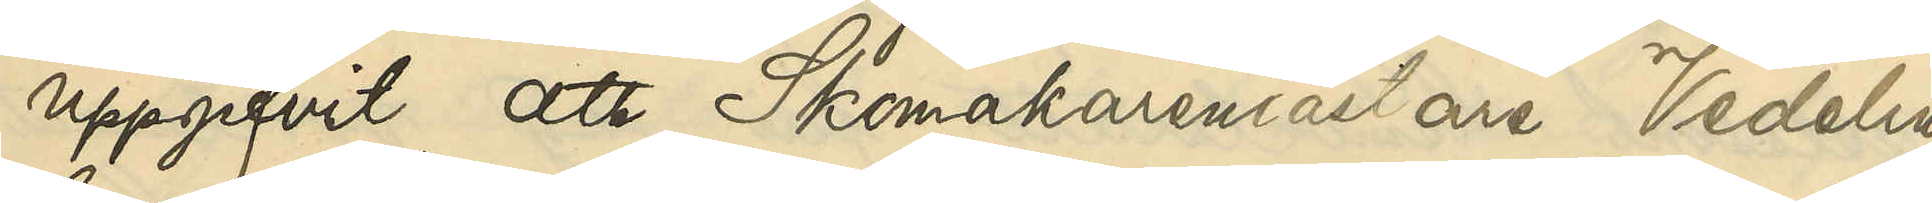uppgifvit, att Skomakarmästare Vedelin,
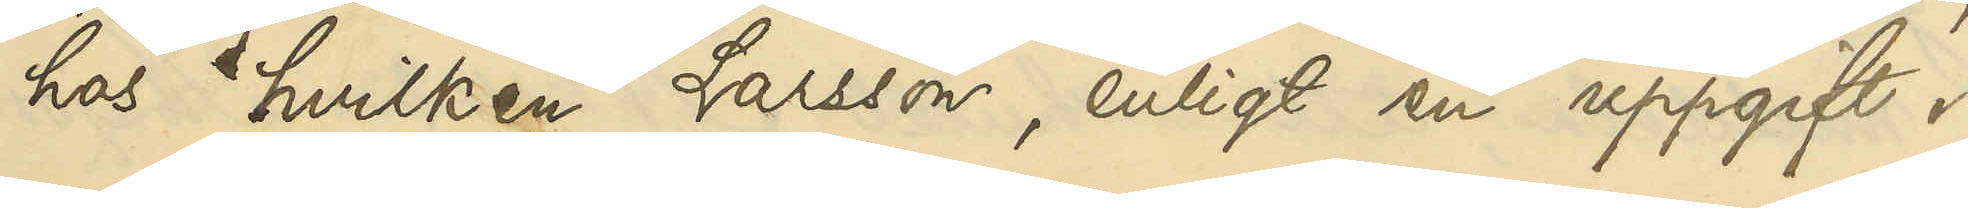hos vilken Larsson, enligt en uppgift i
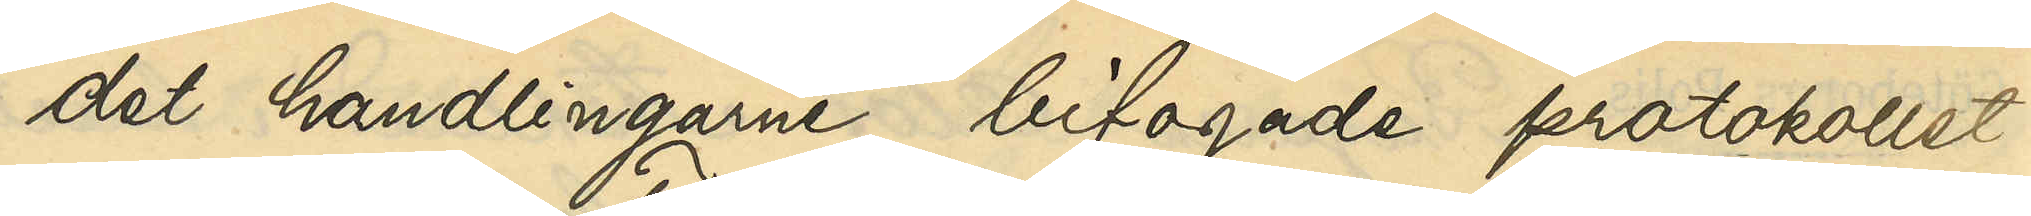det handlingarne bifogade protokollet
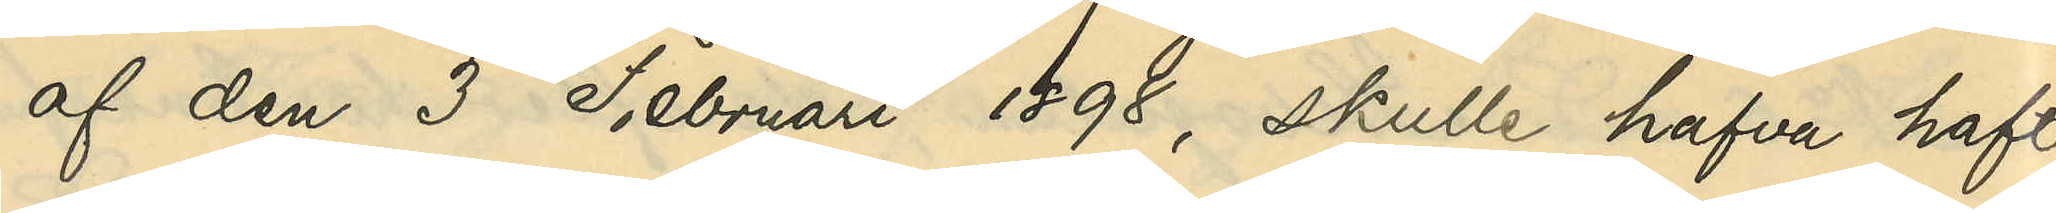af den 3 Februari 1898, skulle hafva haft
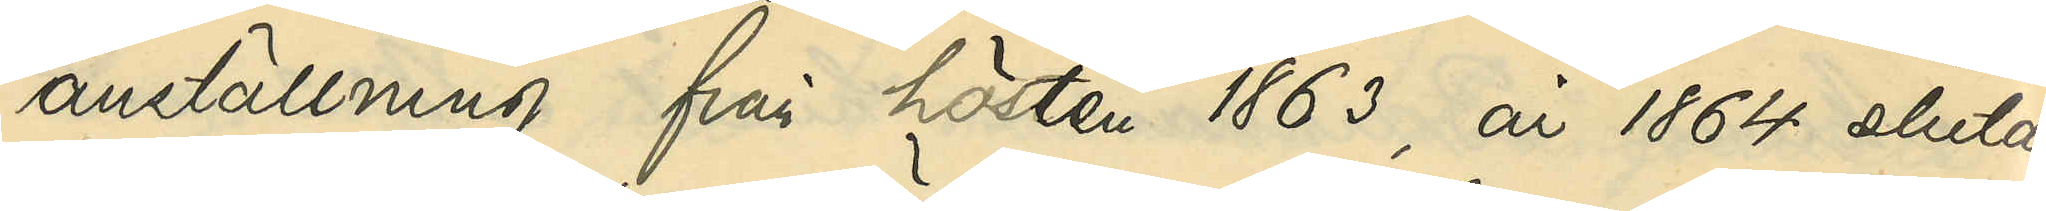anställning från hösten 1863, år 1864 slutat
